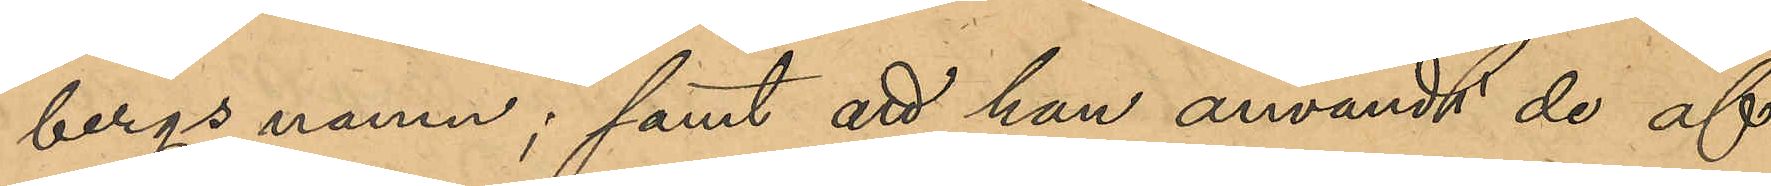bergs namn; samt att han användt de af
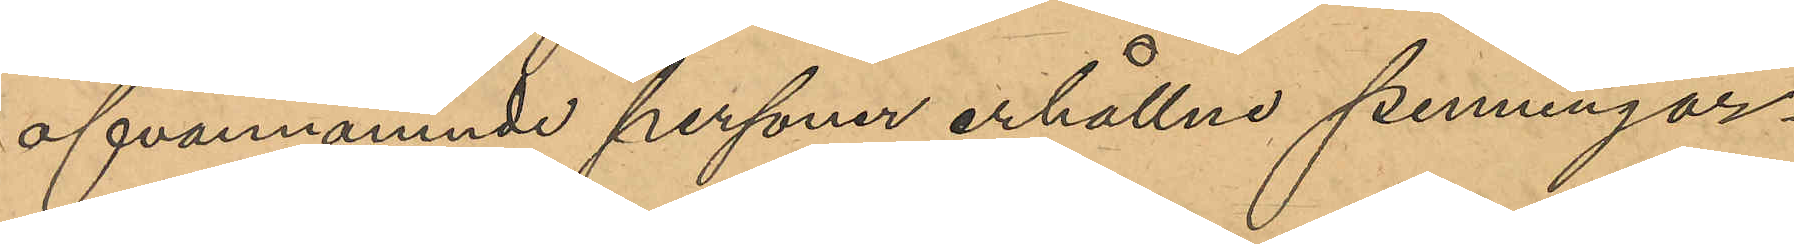ofvannämnde personer erhållna penningar¬
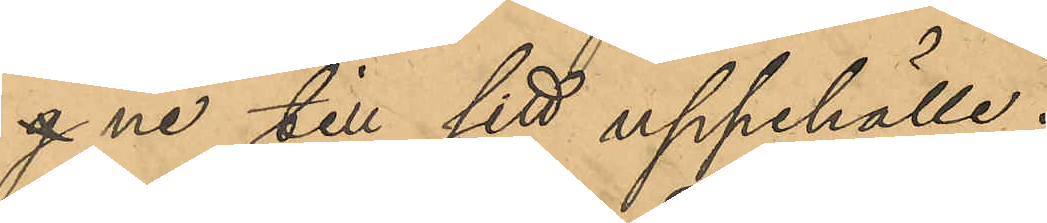g ne till sitt uppehälle.
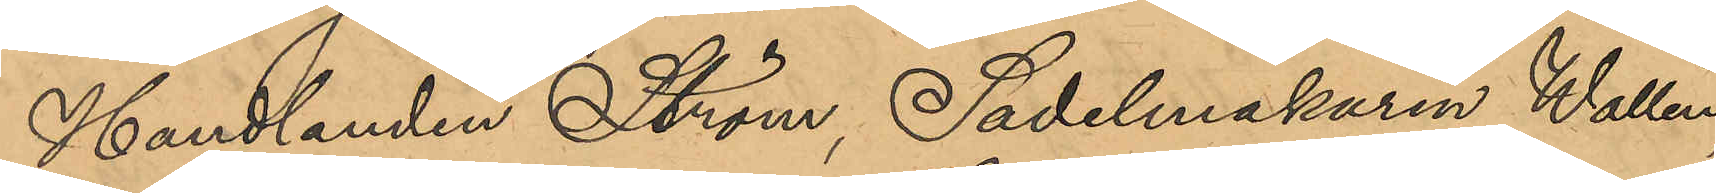Handlanden Ström, Sadelmakaren Wallin,
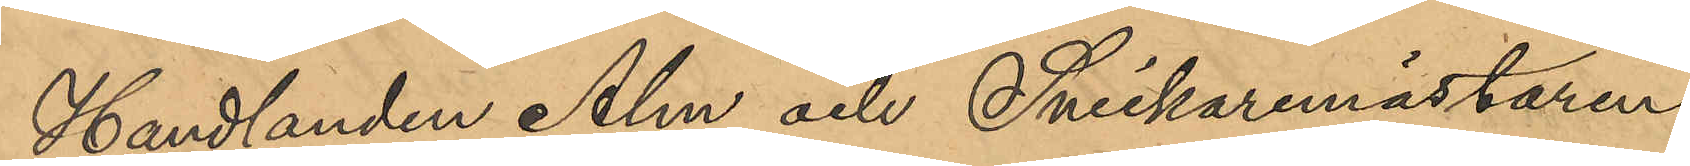Handlanden Alm och Snickaremästaren
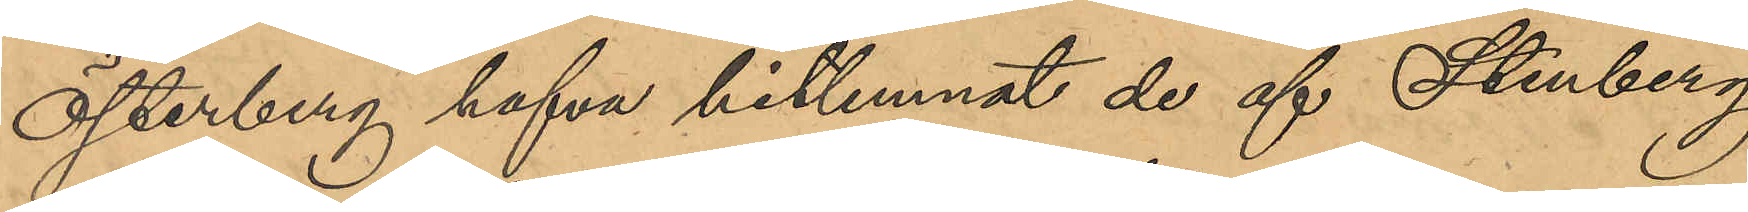Österberg hafva hitlemnat de af Stenberg
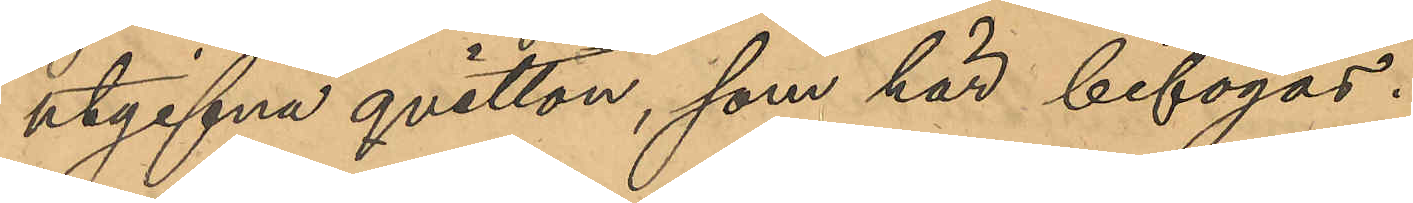utskrifna qvitton, som här bifogas.
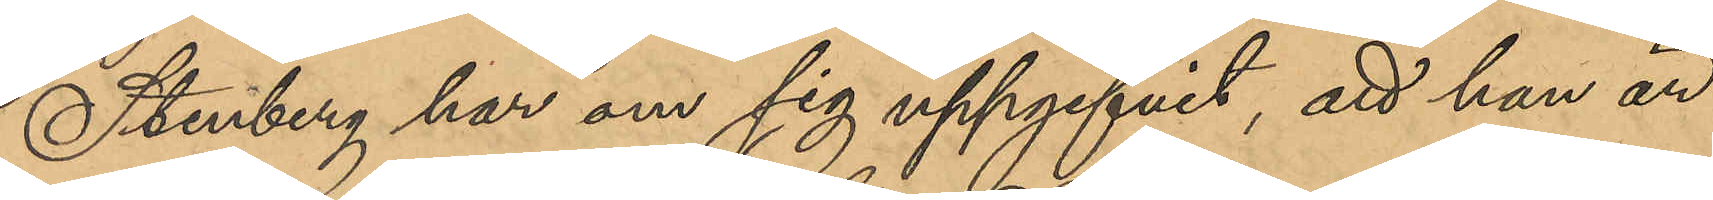Stenberg har om sig uppgifvit, att han är 
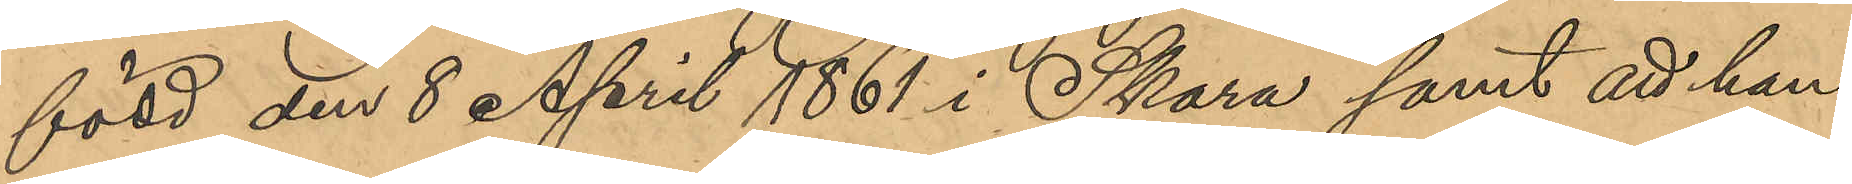född den 8 April 1861 i Skara samt att han
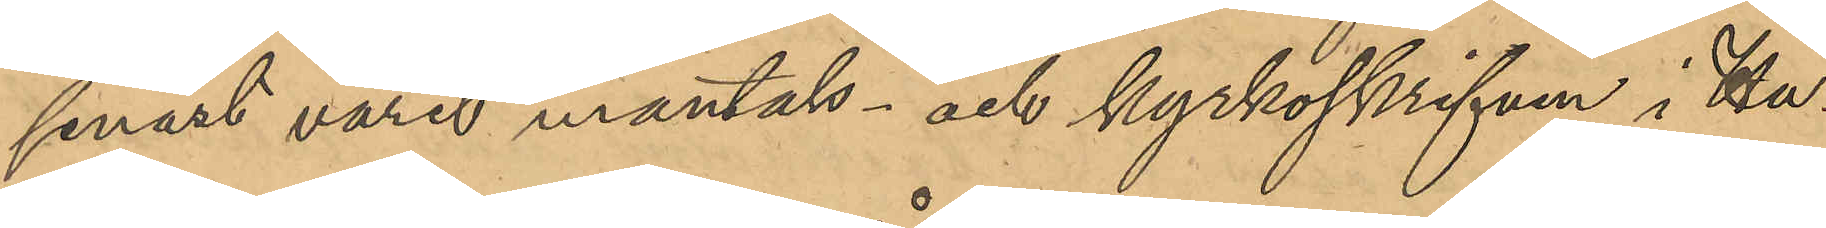senast varit mantals- och kyrkoskrifven i Hu¬
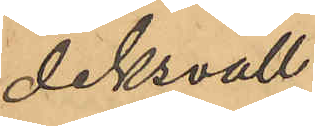diksvall.
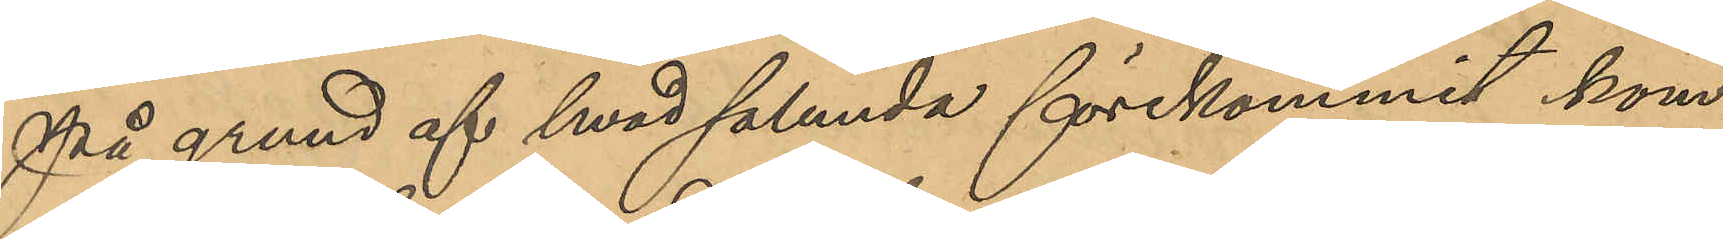På grund af hvad sålunda förekommit kom¬
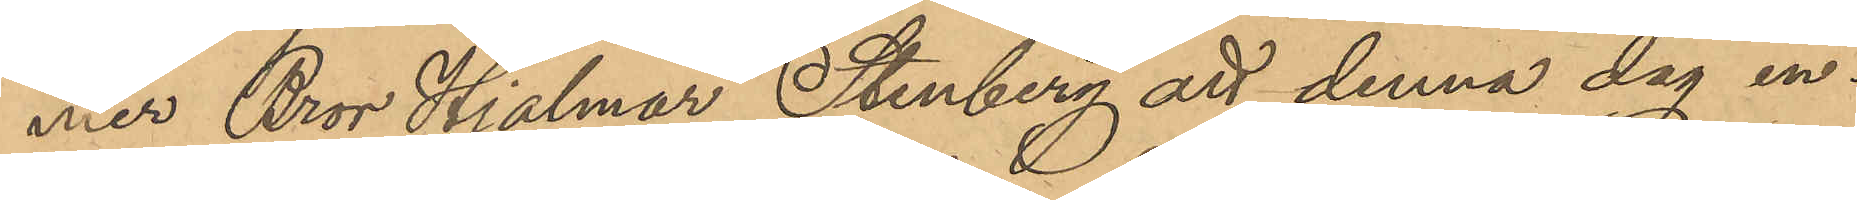mer Bror Hjalmar Stenberg att denna dag in¬
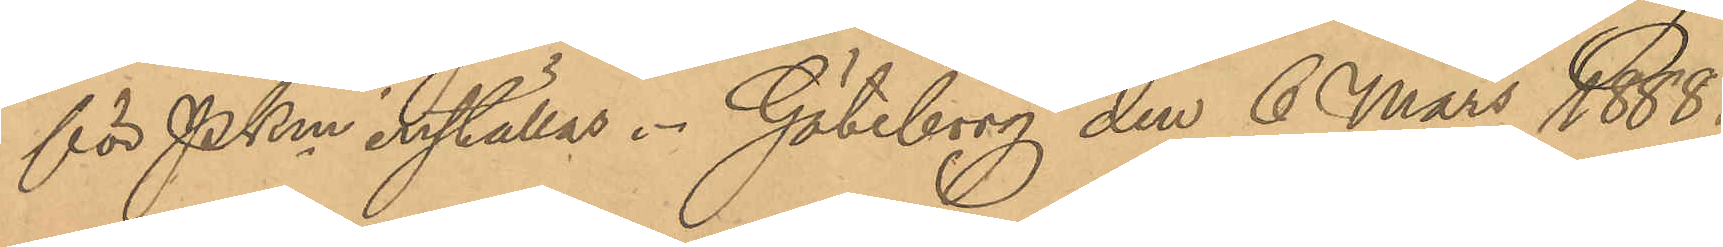för Pkm inställas. Göteborg den 6 Mars 1888.
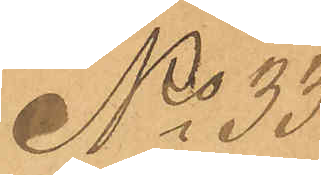No 33
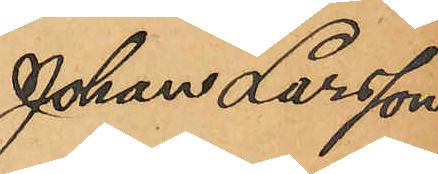Johan Larsson
